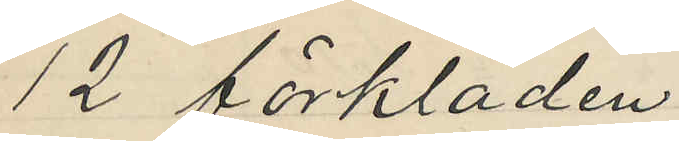12 förkläden
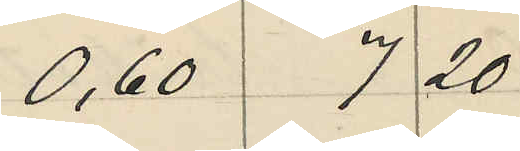0,60 7 20
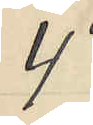4
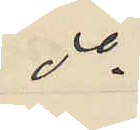do
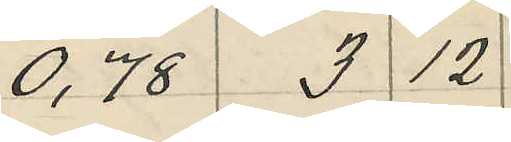0,78 3 12
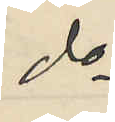do
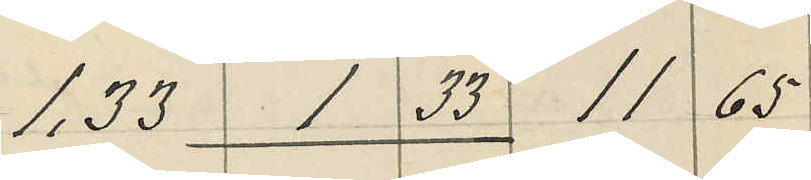1,33 1 33 11 65
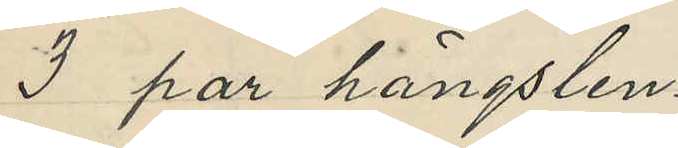3 par hängslen
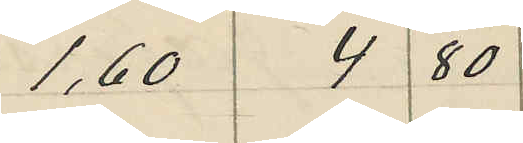1,60 4 80
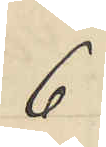6
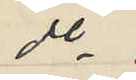do
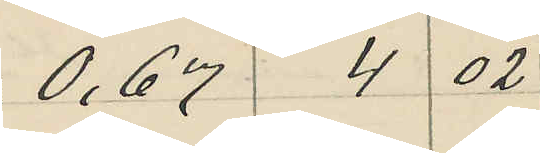0,67 4 02
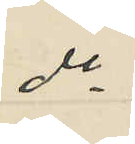do
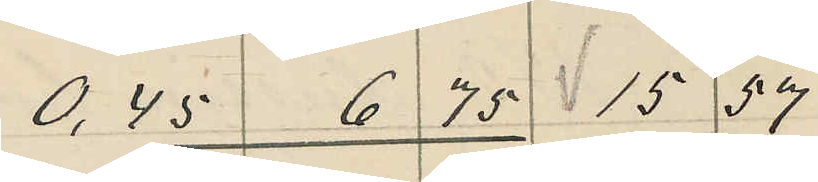0,45 6 75 15 57
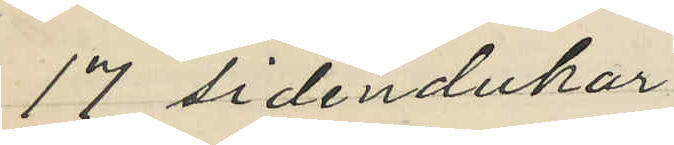17 sidendukar
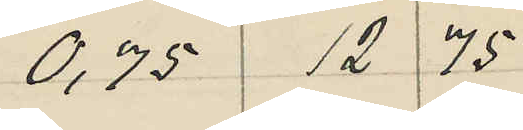0,75 12 75
